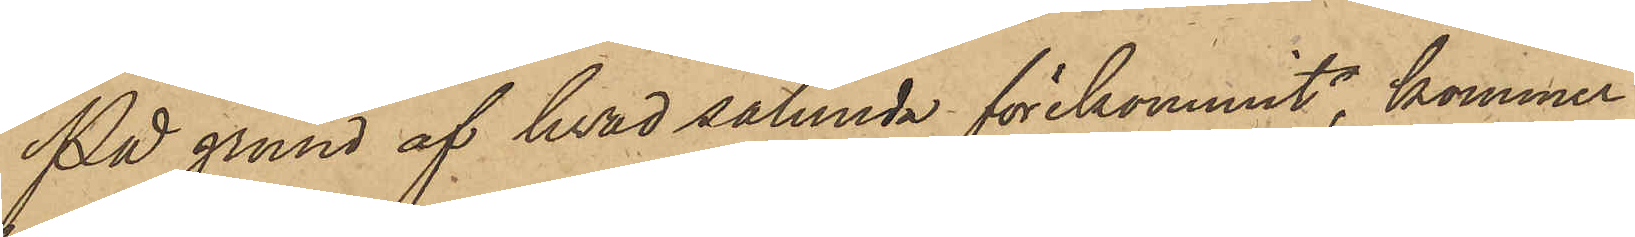På grund af hvad sålunda förekommit, kommer
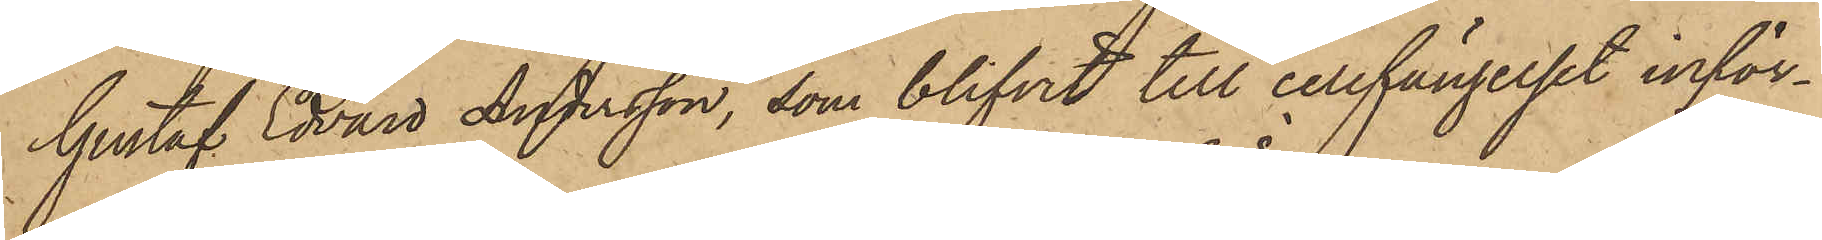Gustaf Edvard Andersson, som blifvit till cellfängelset inför¬
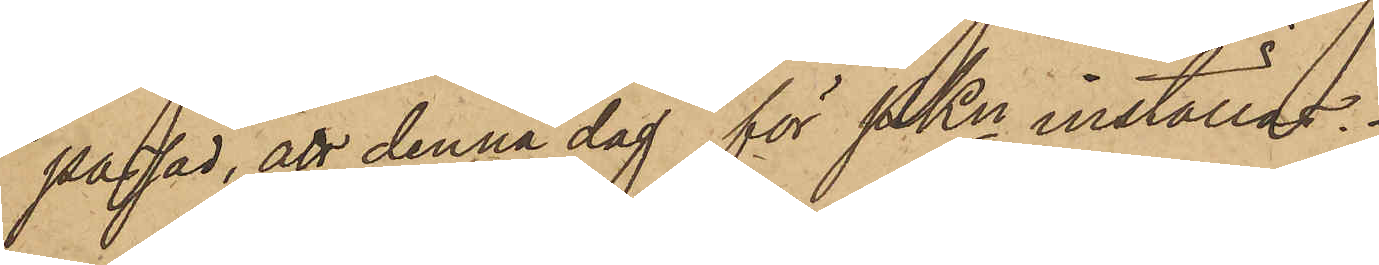passad, att denna dag för PKn inställas.
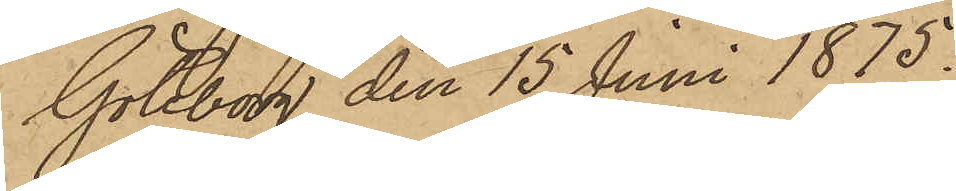Göteborg den 15 Juni 1875.
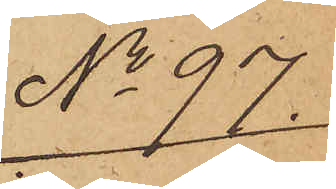No 97.
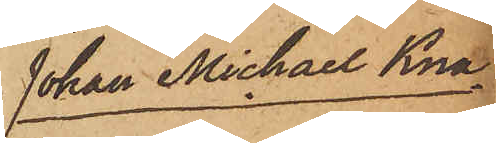Johan Michael Kna¬
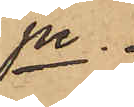pe.
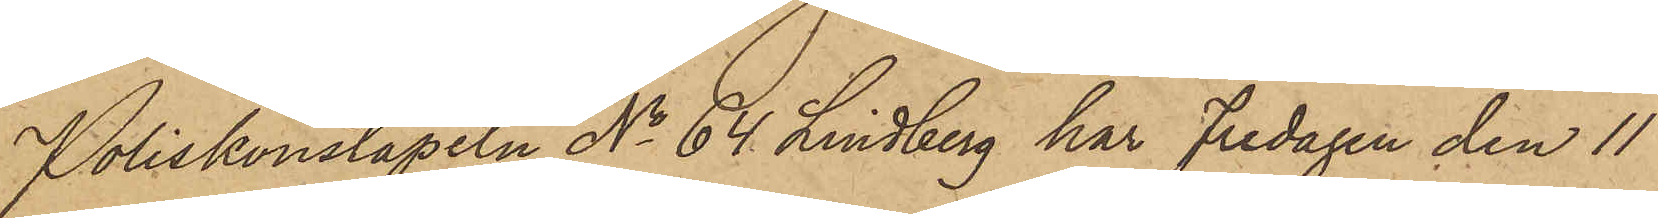Poliskonstapeln No 64 Lindberg har Fredagen den 11
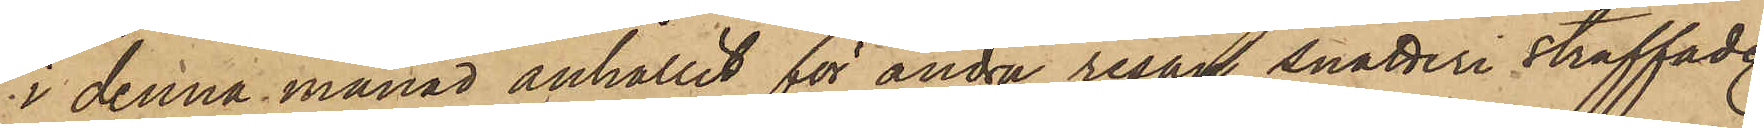i denna månad anhållit för andra resan snatteri straffade
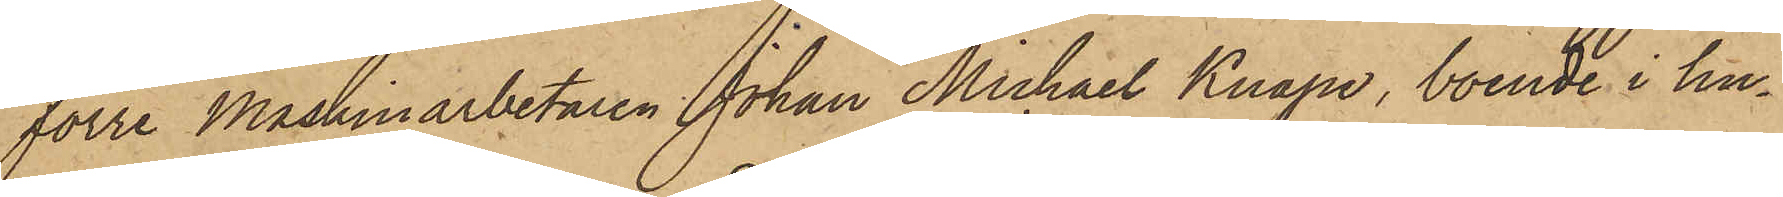förre Maskinarbetaren Johan Michael Knape, boende i hu¬
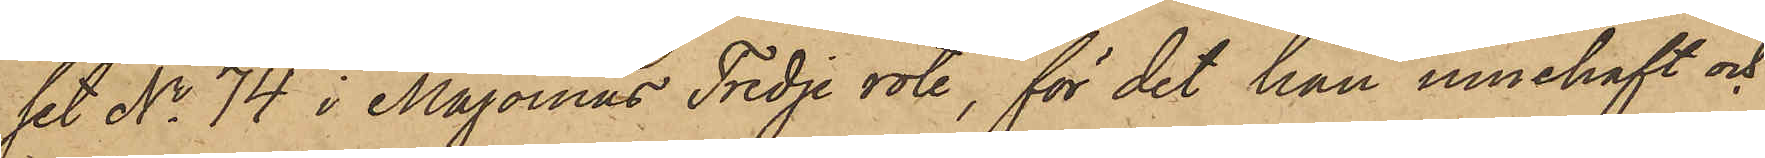set No 74 i Majornas Tredje rote, för det han innehaft och
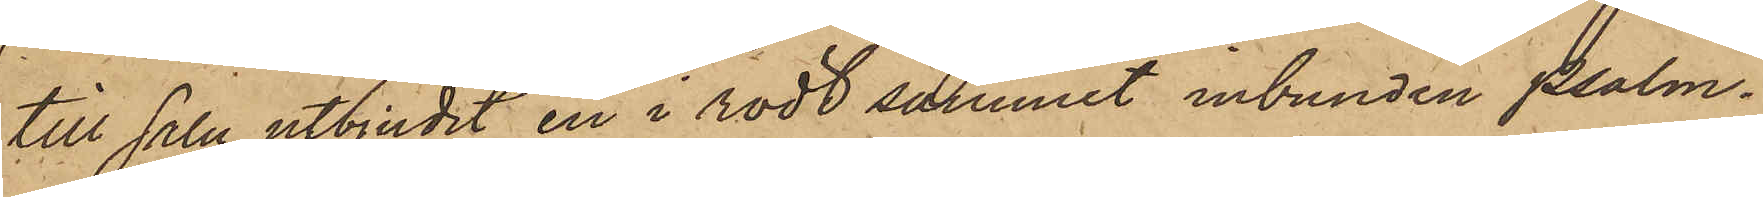till salu utbjudit en i rödt sammet inbunden psalm¬
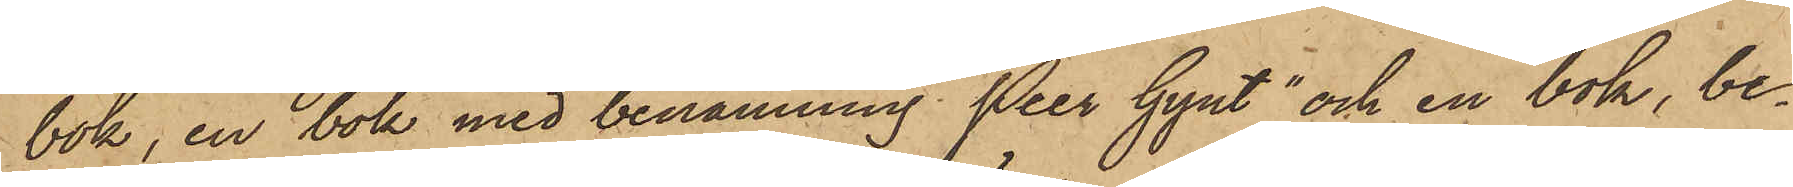bok, en bok med benämning "Peer Gynt"och en bok, be¬
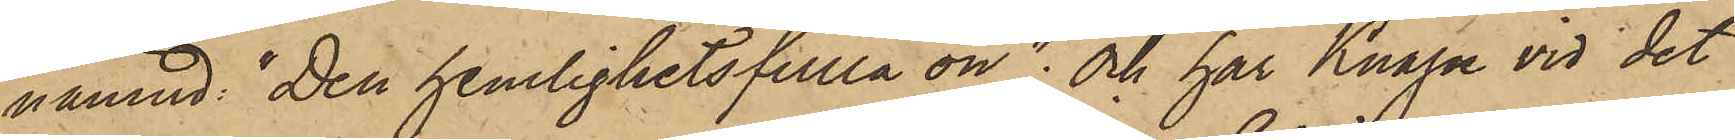nämnd: "Den hemlighetsfulla ön"; Och har Knape vid det
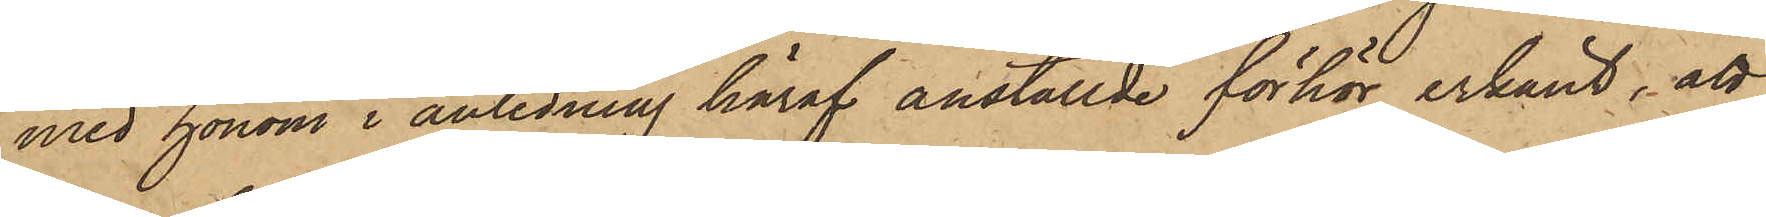med honom i anledning häraf anställde förhör erkänt, att
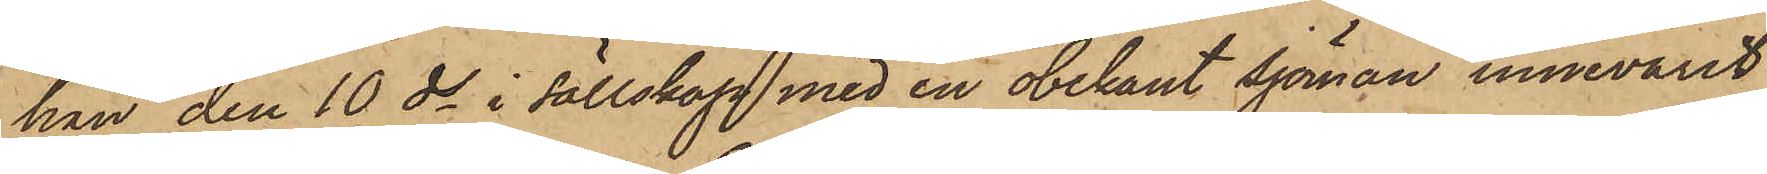han den 10 ds i sällskap med en obekant Sjöman innevarit
